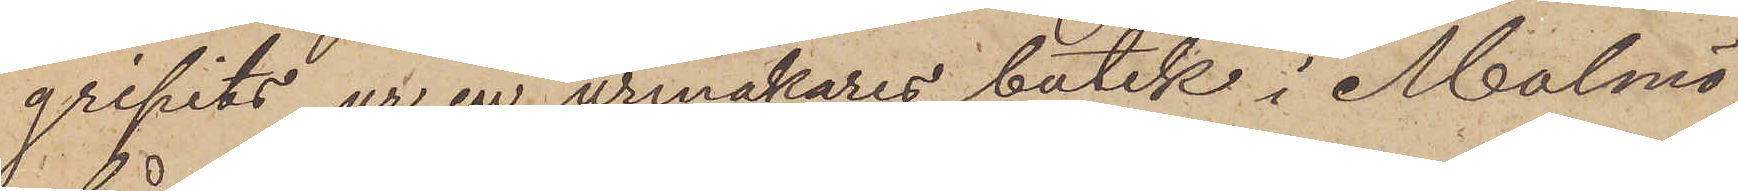gripits ur en urmakares butik i Malmö,
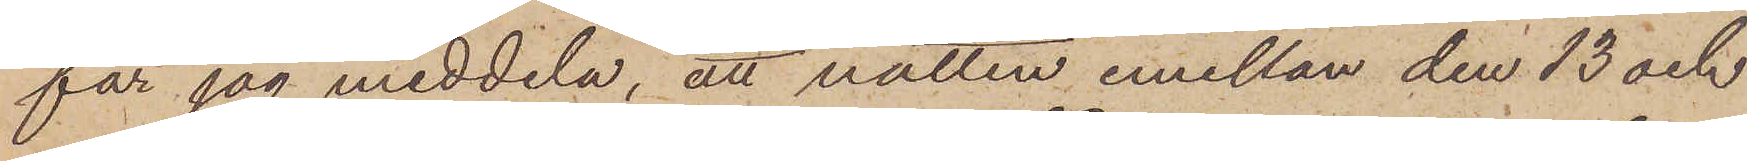får jag meddela, att natten emellan den 13 och
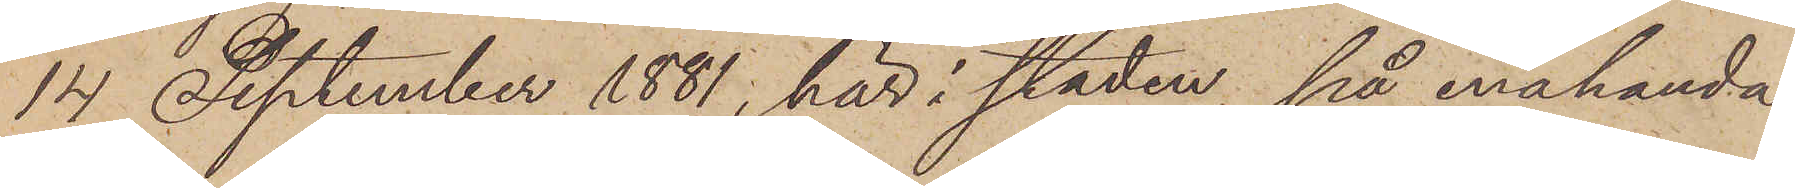14 September 1881, här i staden, på enahanda
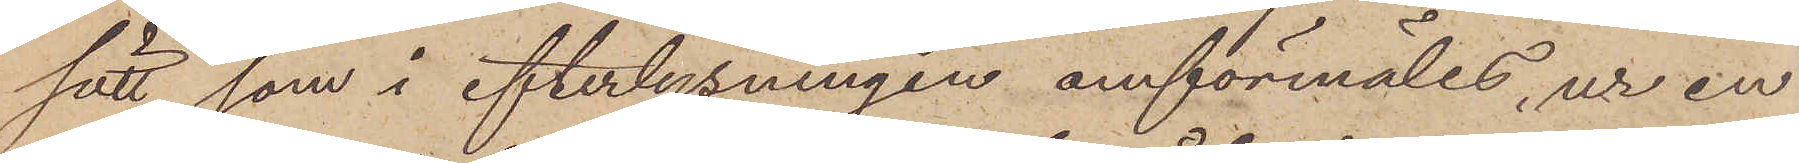sätt som i efterlysningen omförmäles, ur en
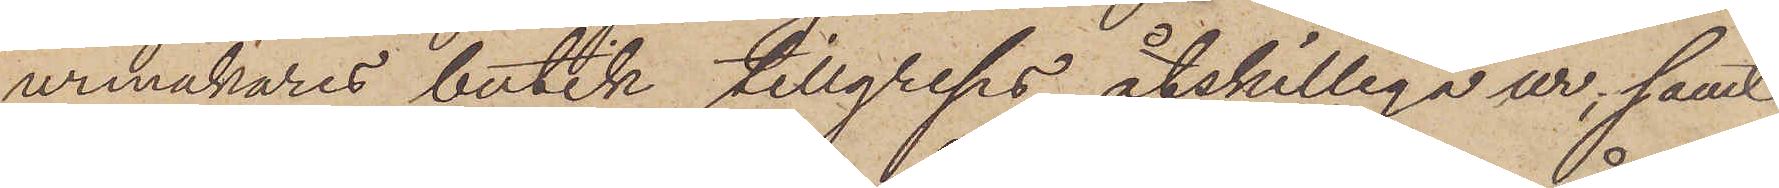urmakares butik tillgreps åtskilliga ur; samt
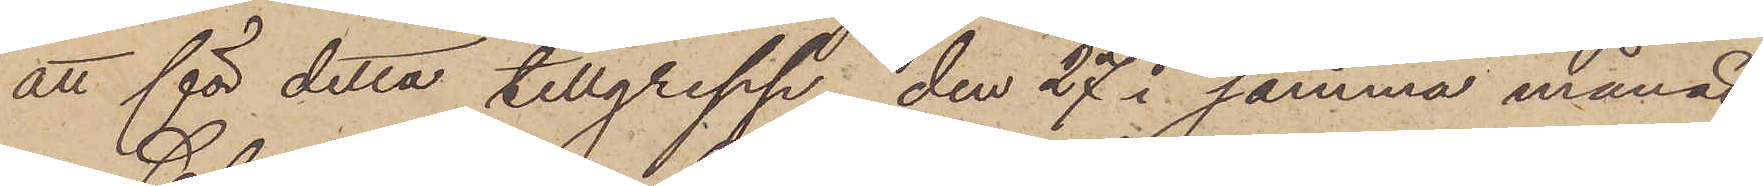att för detta tillgrepp den 27 i samma månad
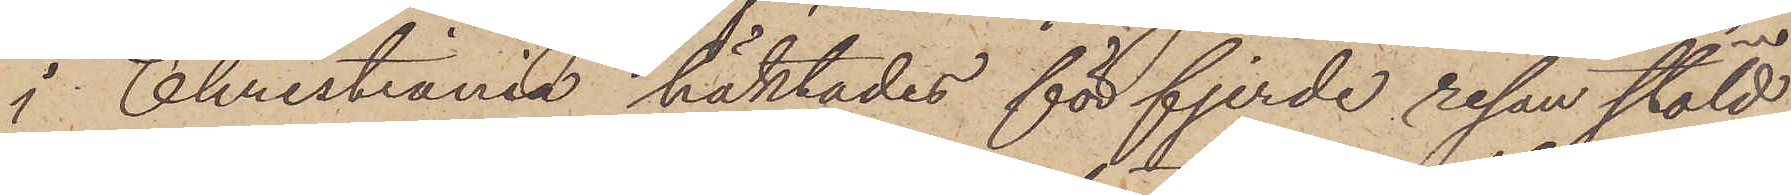i Christiania häktades för fjerde resan stöld
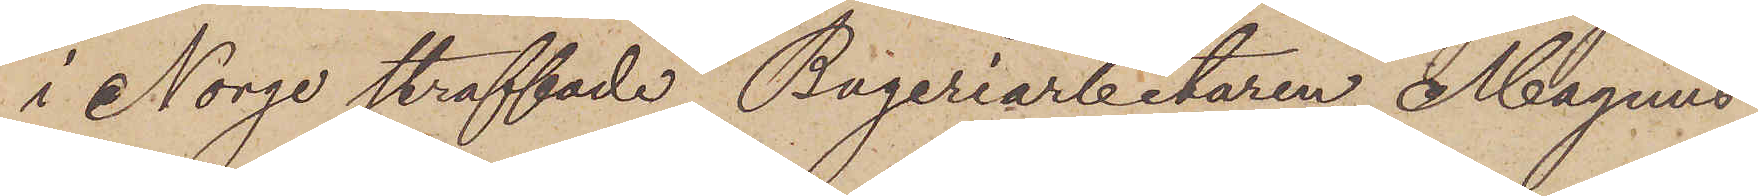i Norge straffade Bageriarbetaren Magnus
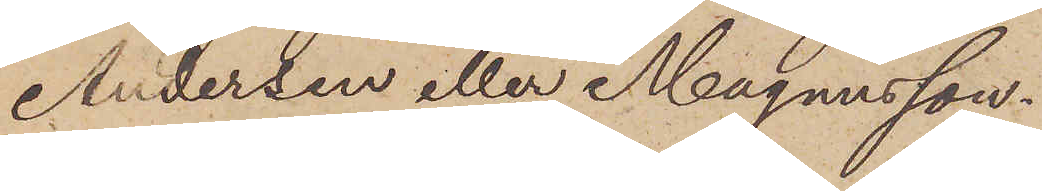Andersen eller Magnusson.
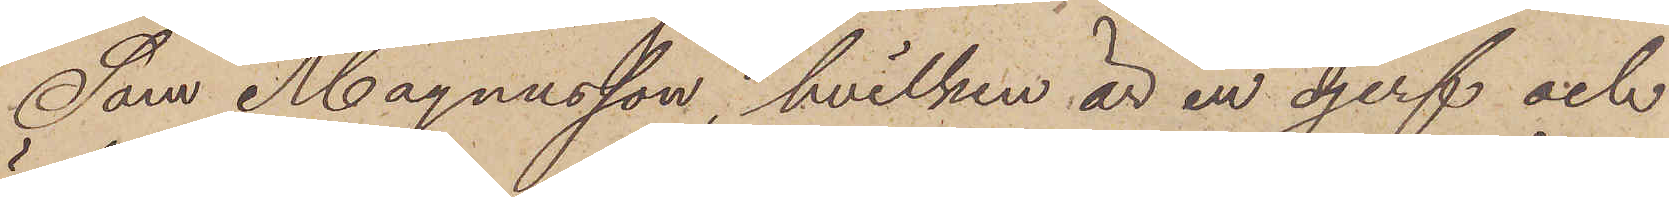Som Magnusson, hvilken är en djerf och
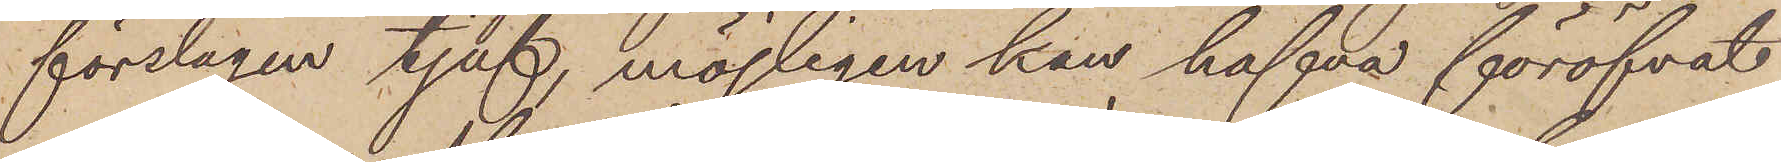förslagen tjuf, möjligen han hafva föröfvat
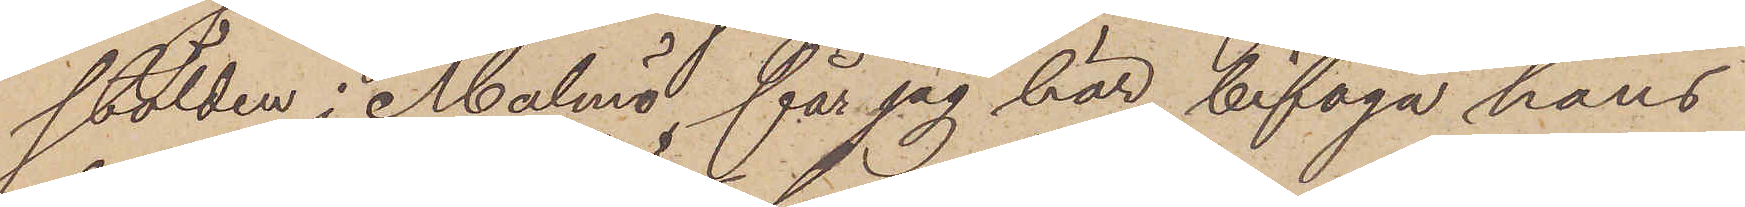stölden i Malmö får jag har bifoga hans
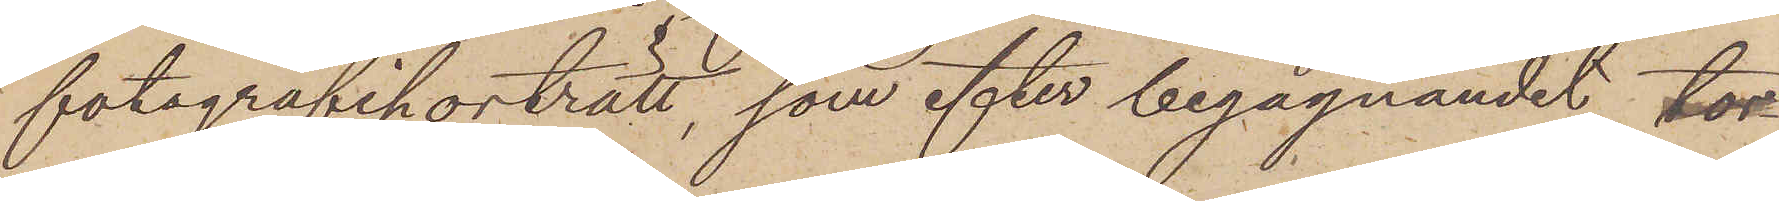fotografiporträtt, som efter begagnandet tor¬
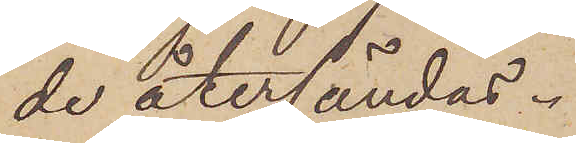de återsändas.
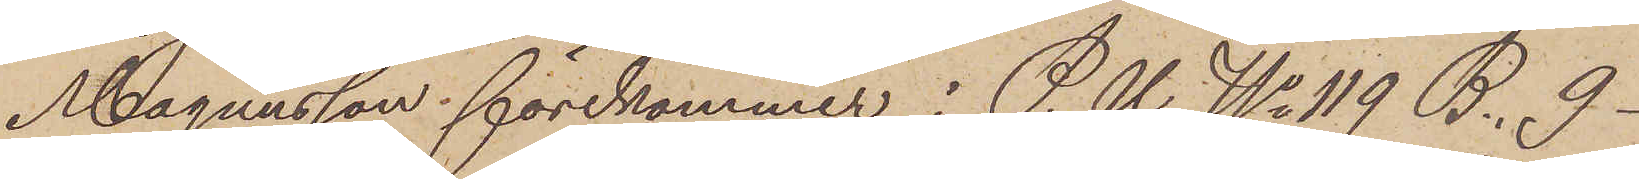Magnusson förekommer i P.U. No 119 B. 9
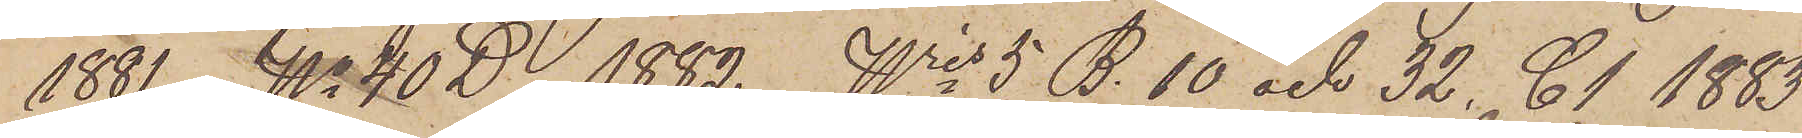1881, No 40 D 1882, Nris 5 B.10 och 32, C1 1883
